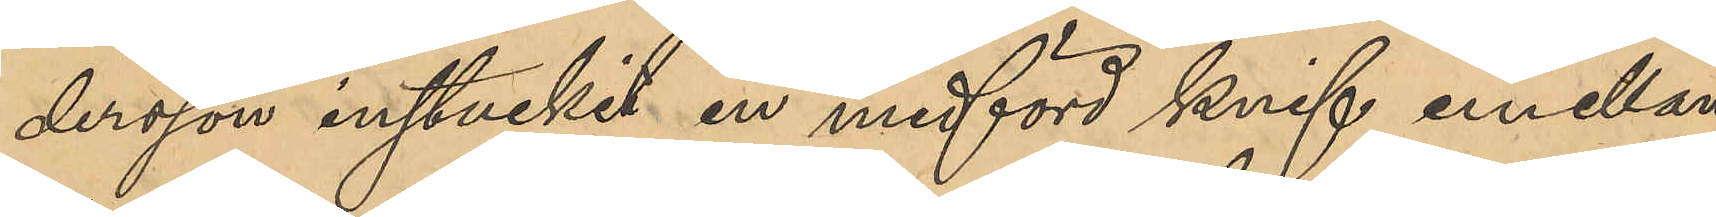dersson instuckit en medförd knif emellan
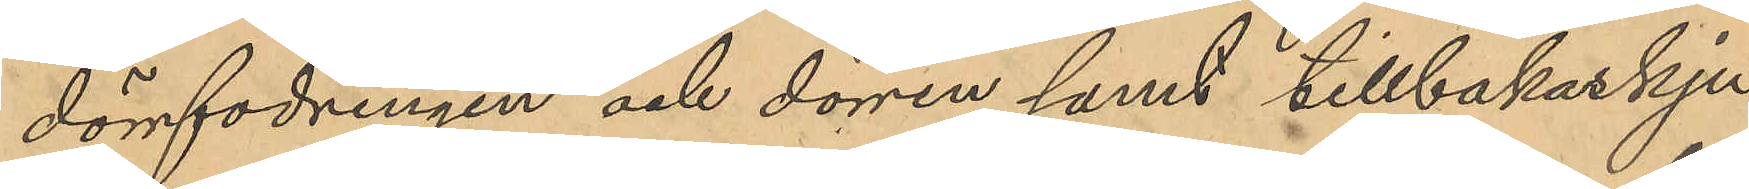dörrfodringen och dören samt tillbakaskju¬
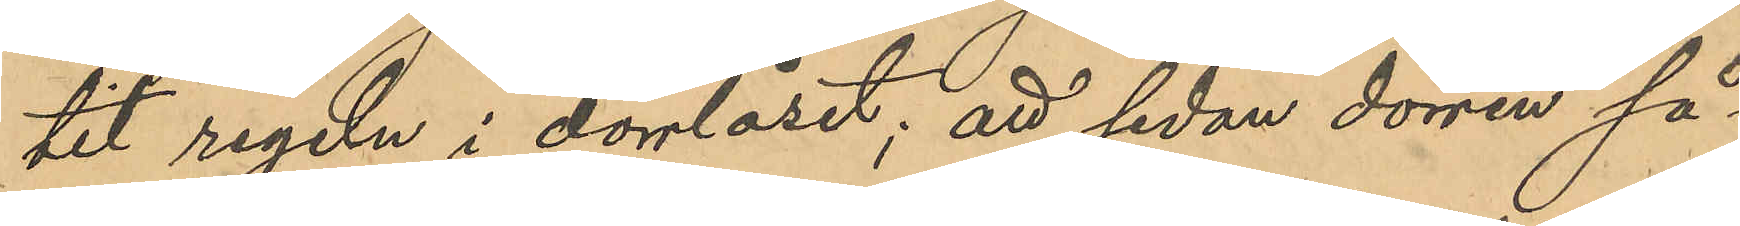tit regeln i dörrlåset; att sedan dörren så¬
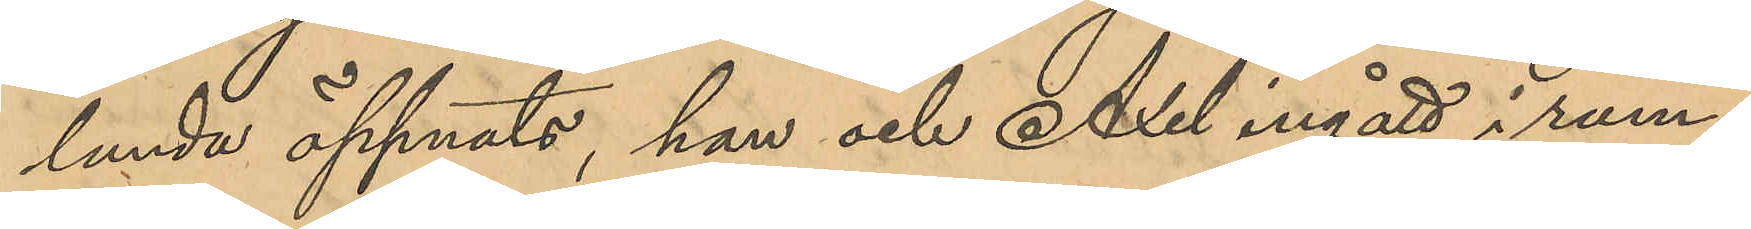lunda öppnats, han och Axel ingått i rum¬
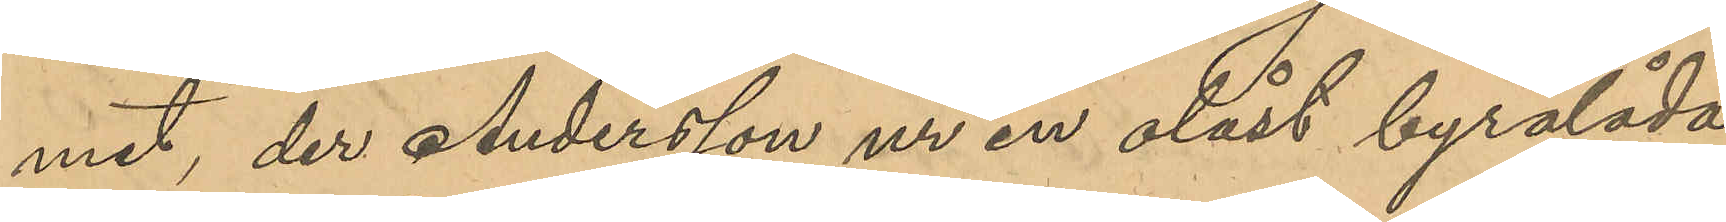met, der Andersson ur en olåst byrålåda
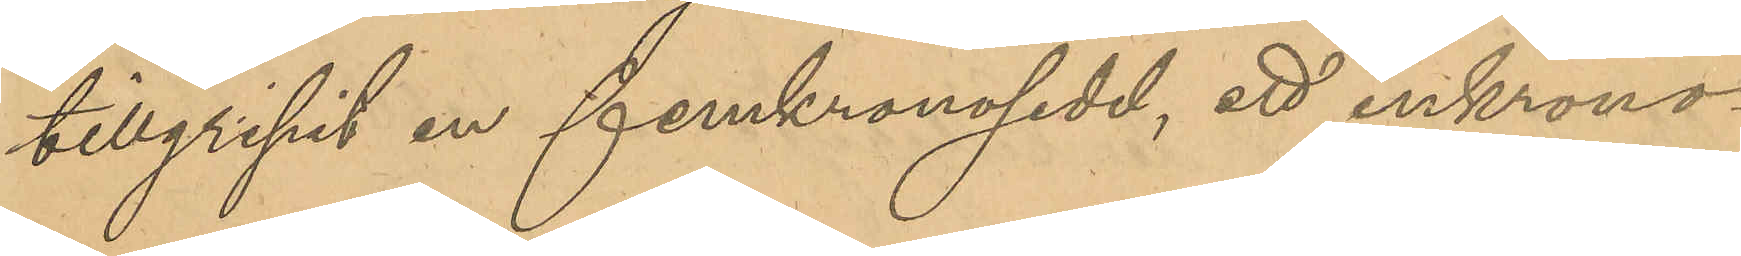tillgripit en femkronosedel, ett enkrono¬
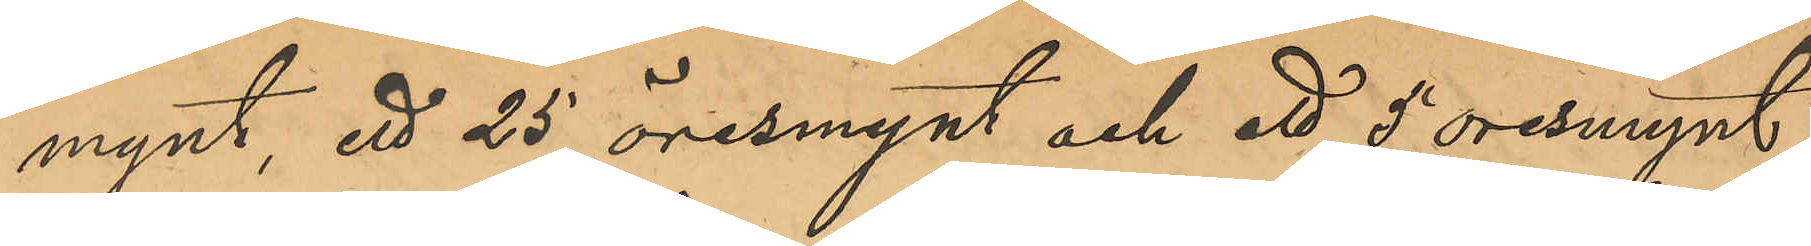mynt, ett 25 öresmynt och ett 5 oresmynt;
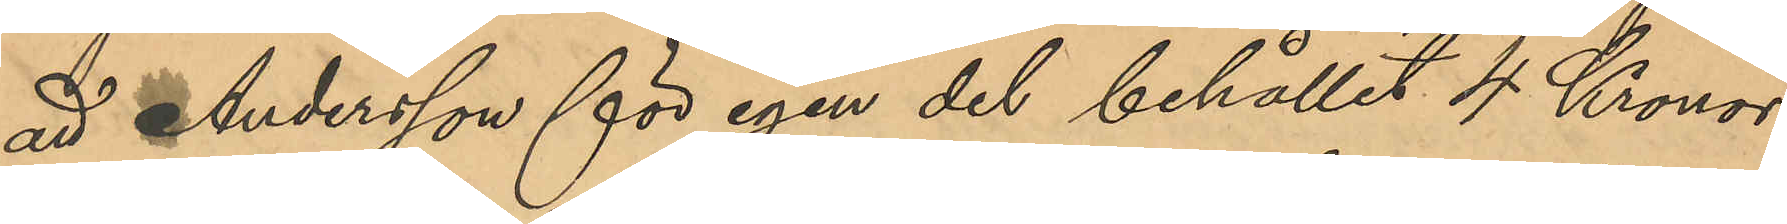att Andersson för egen del behållit 4 Kronor
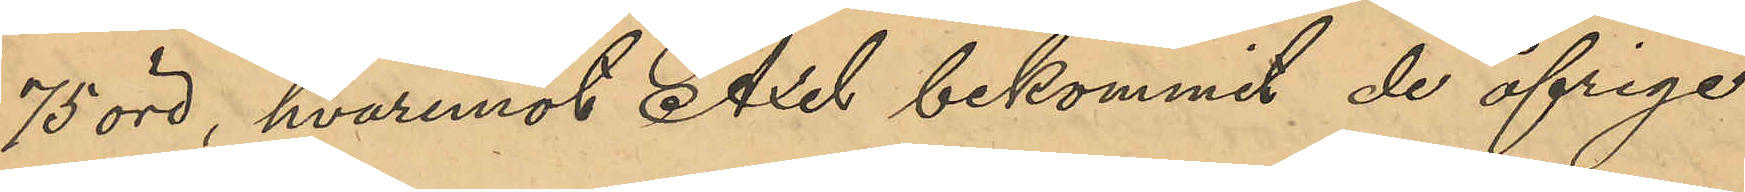75 öre, hvaremot Axel bekommit de öfriga
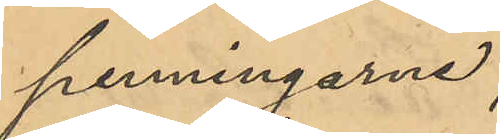penningarne;
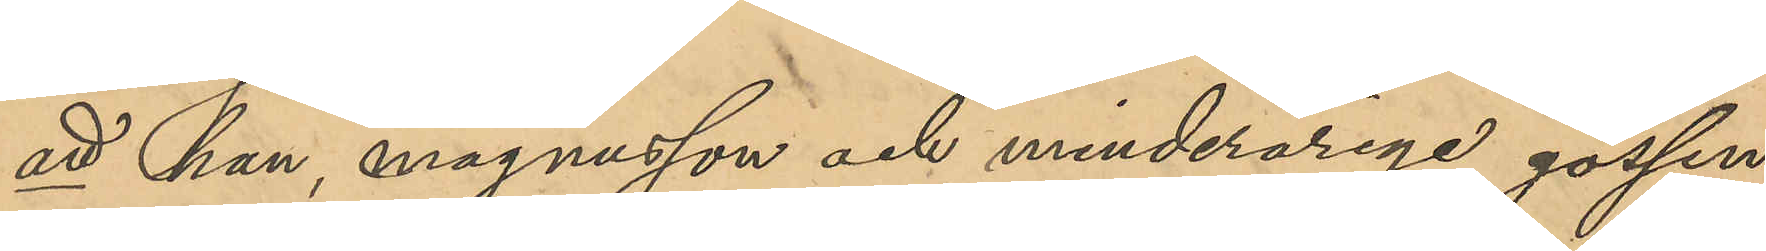att han, magnusson och minderårige gossen
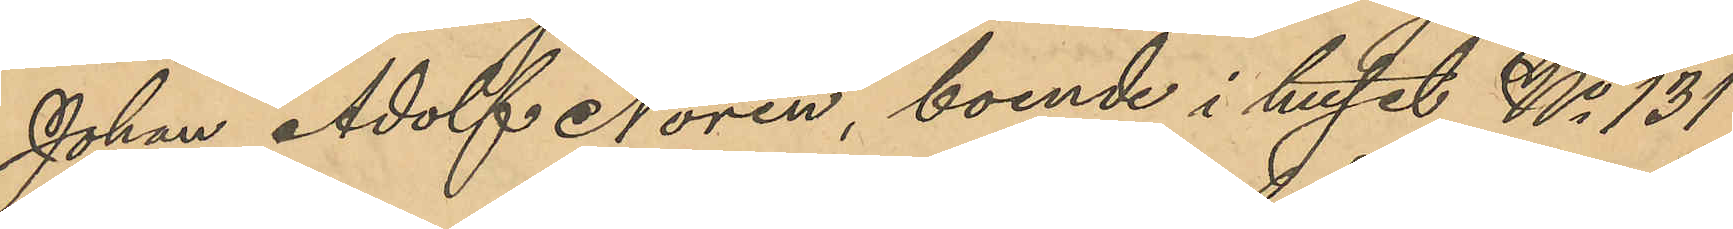Johan Adolf Norén, boende i huset No 131
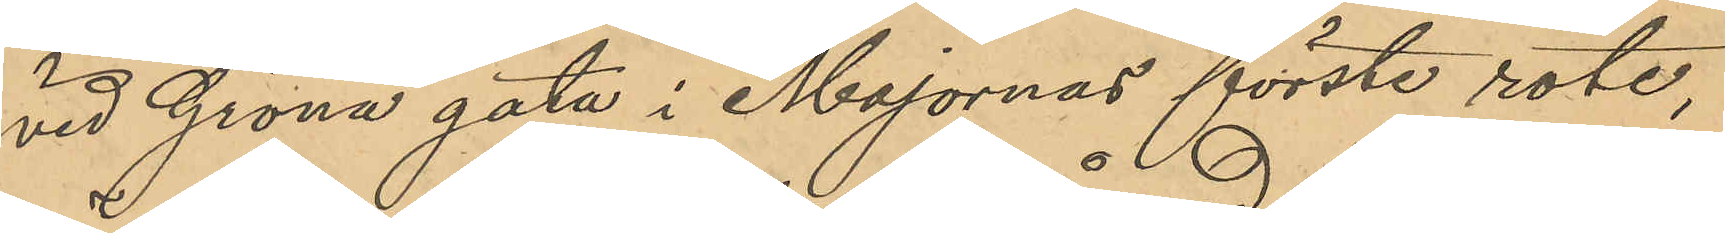vid Gröna gata i Majornas förste rote,
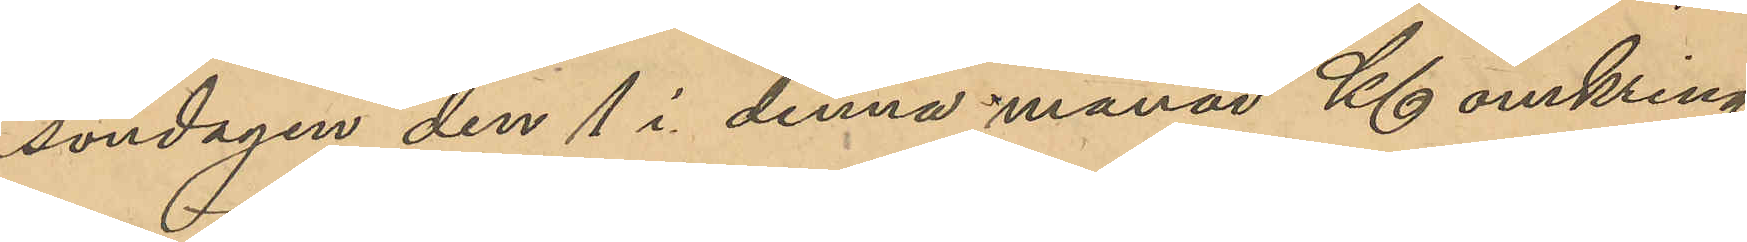söndagen den 1 i denna månad Kl omkring
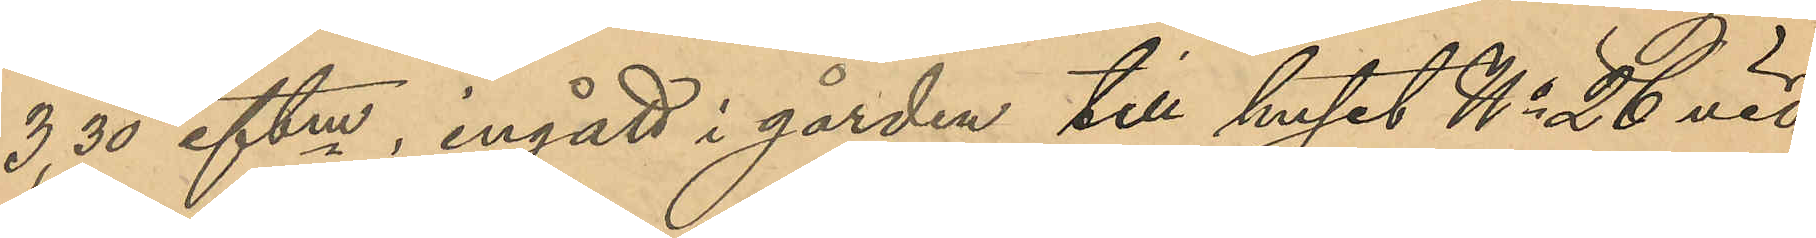3,30 eftm, ingått i gården till huset No 26 vid
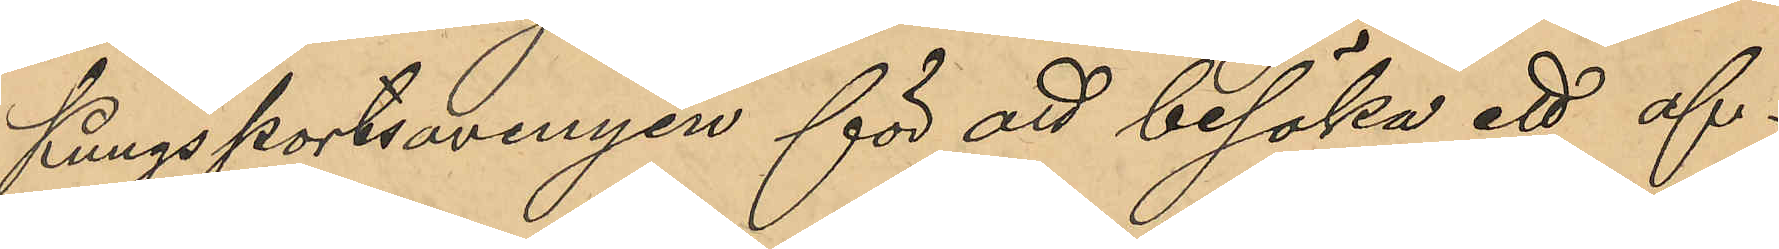Kungsportsavenyen för att besöka ett af¬
